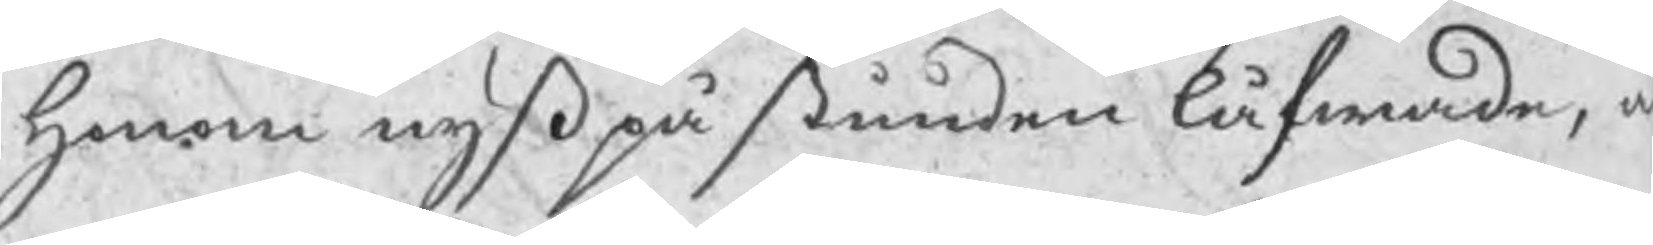honom nyß på stunden låfwade, a
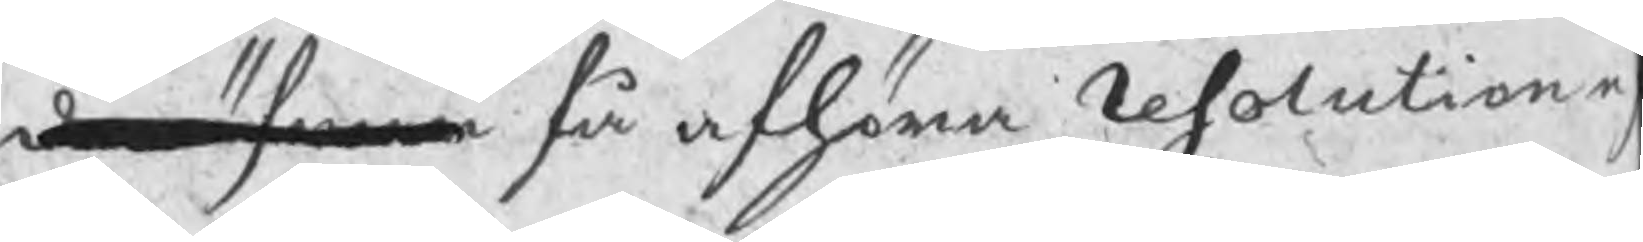der öfwer få afhöra Resolution e
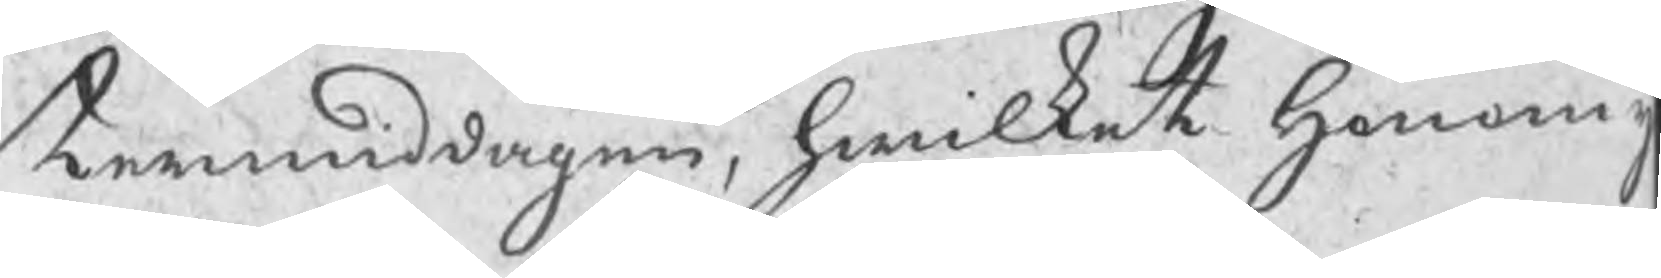termiddagen, hwilket honom y
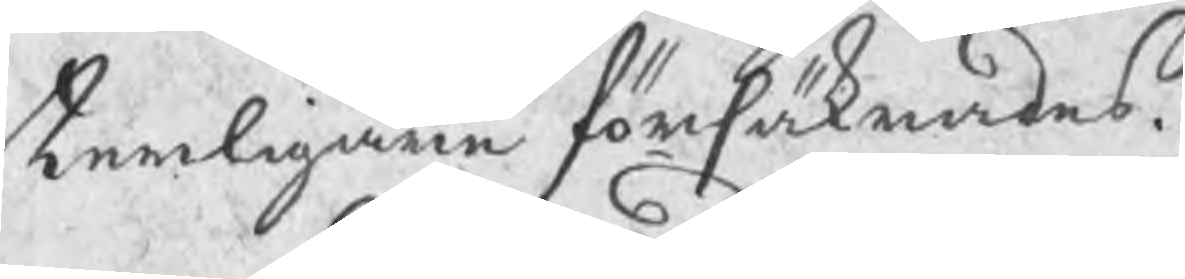terligare försäkrades.
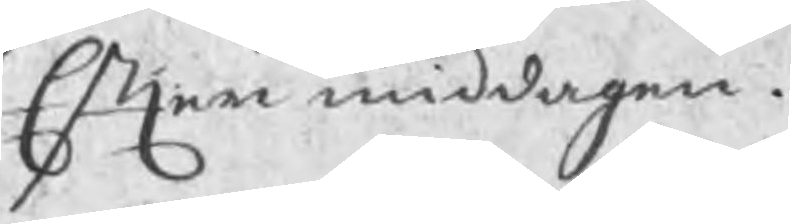Efter middagen.
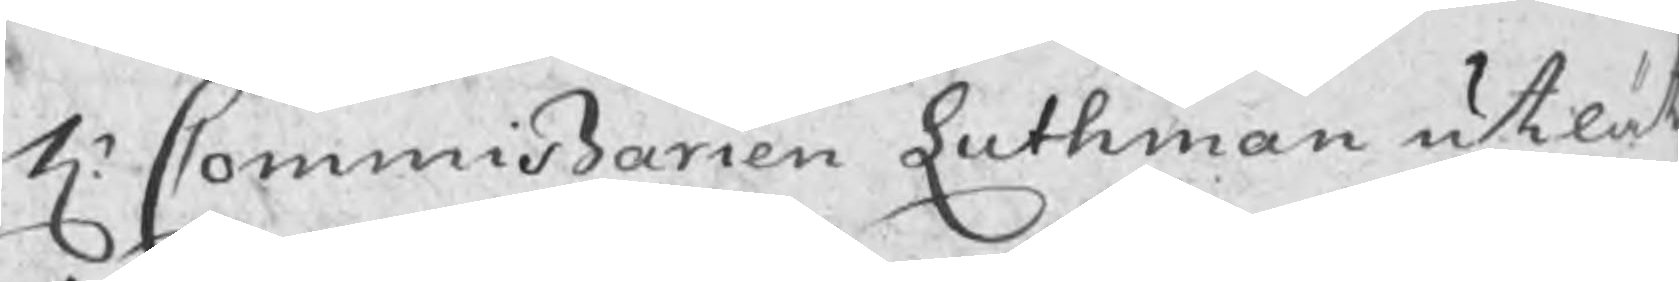Hr Commißarien Luthman utlät
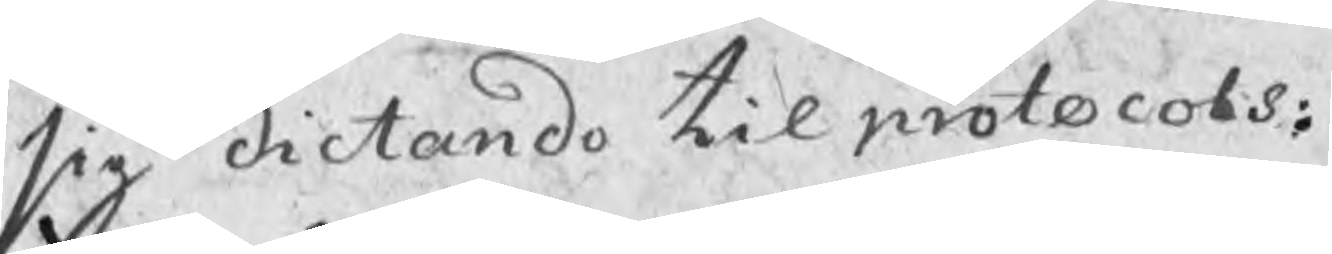sig dictande til protocols:
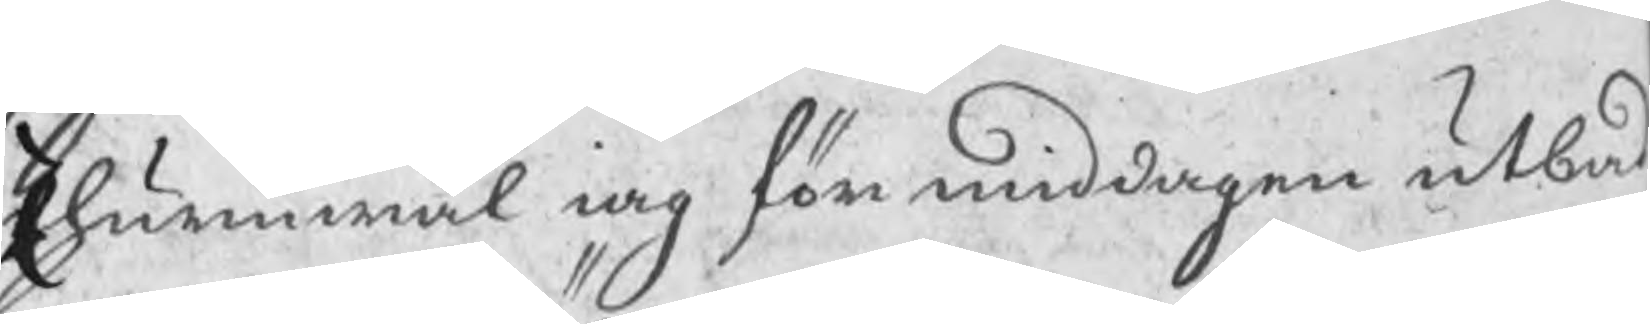Ehuruwäl iag för middagen utbad
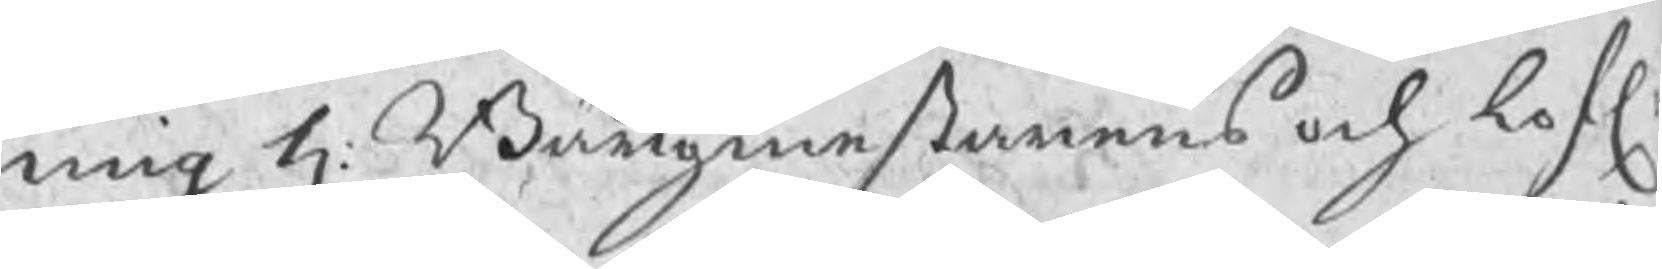mig H: Bärgmestarens och lofl:
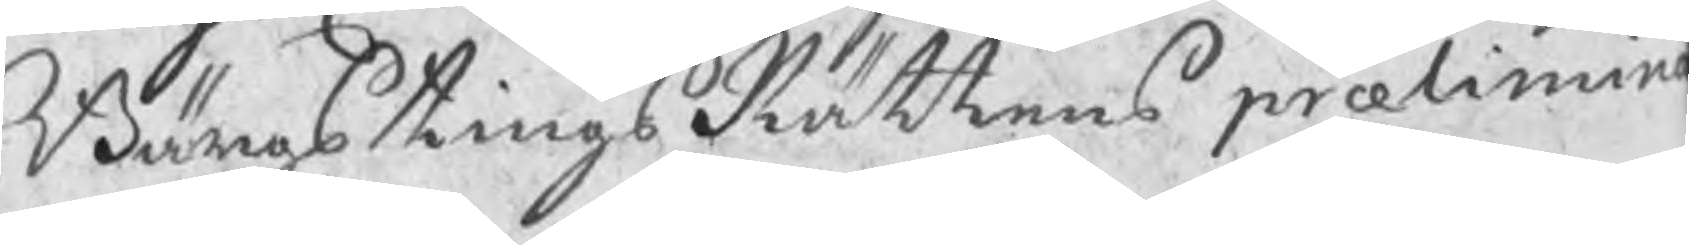BärgstingsRättens prælimin
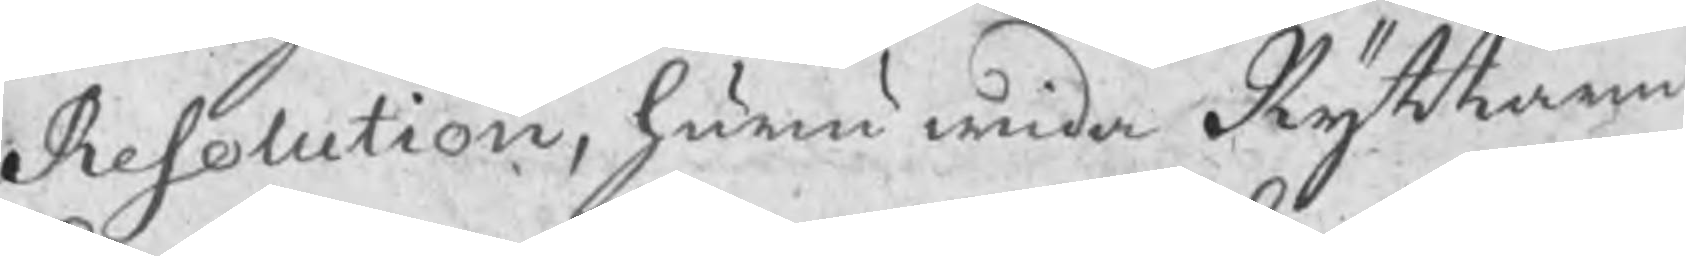Resolution, huru wida Ryttaren
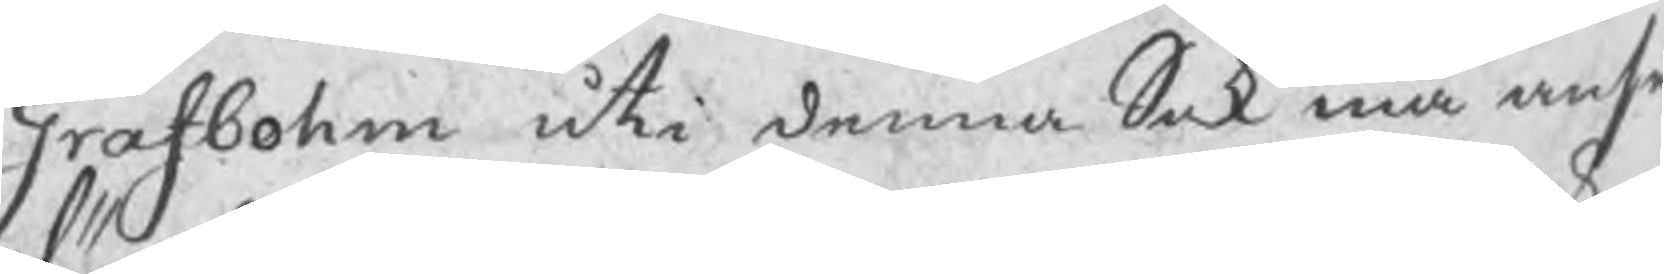Grafbohm uti denna Sak må anse
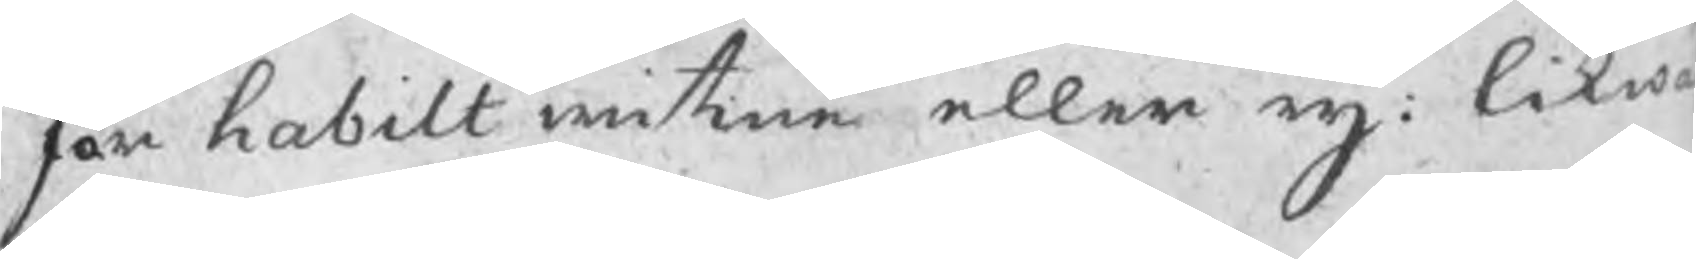för habilt witne eller eij: likw
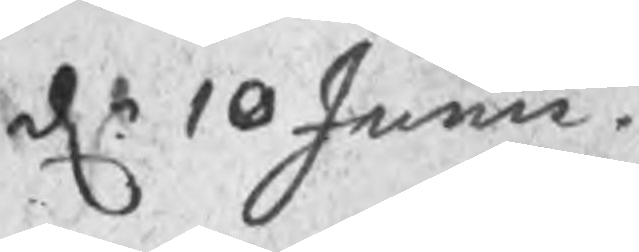dn 10 Junii
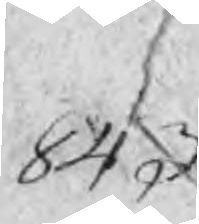843
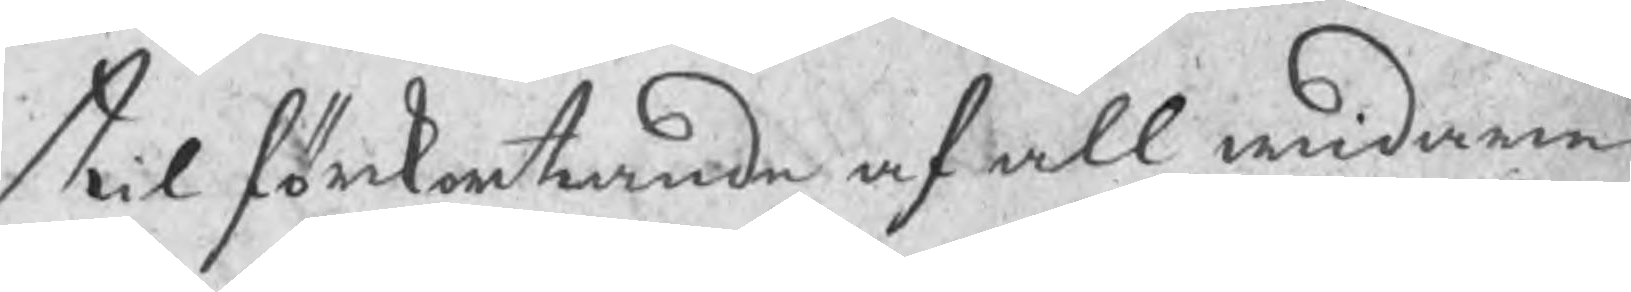til förkortande af all widare
